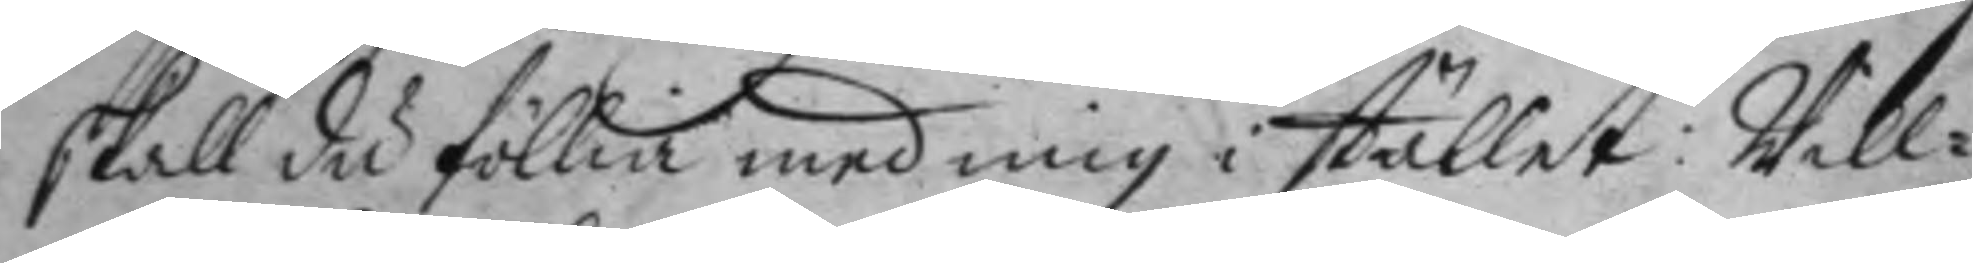skall du föllia med mig i stället: Will¬
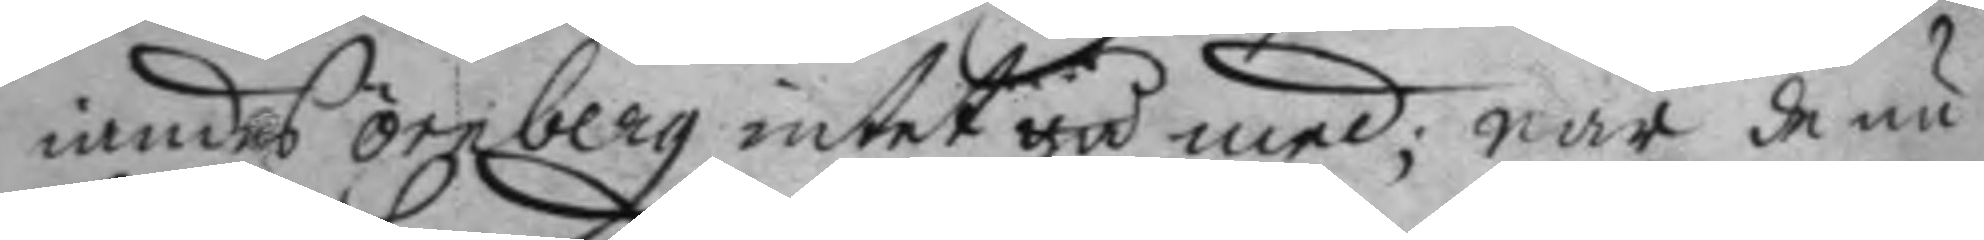iandes örnberg intet gå med; när de nu
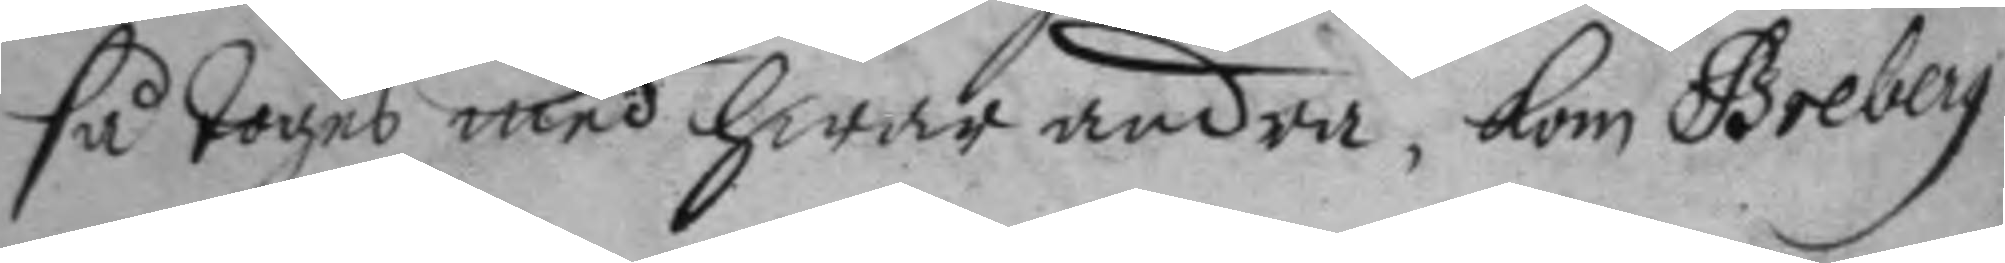så toges med hwarandra, kom Greberg
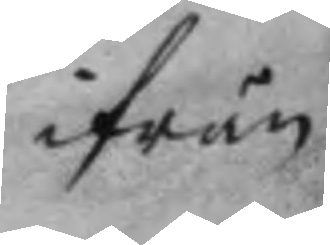ifrån
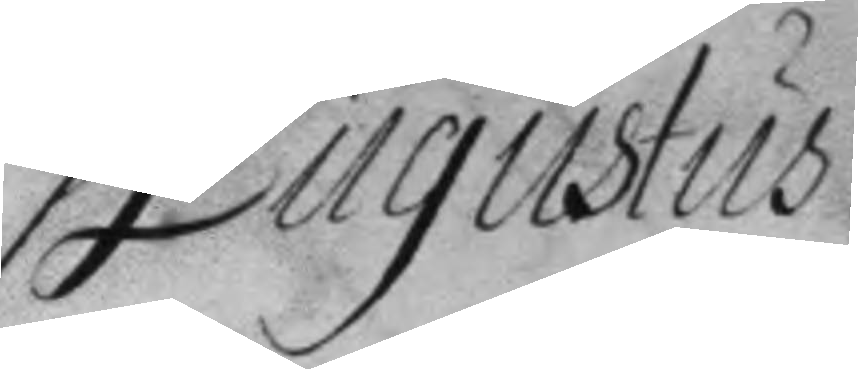Augustus
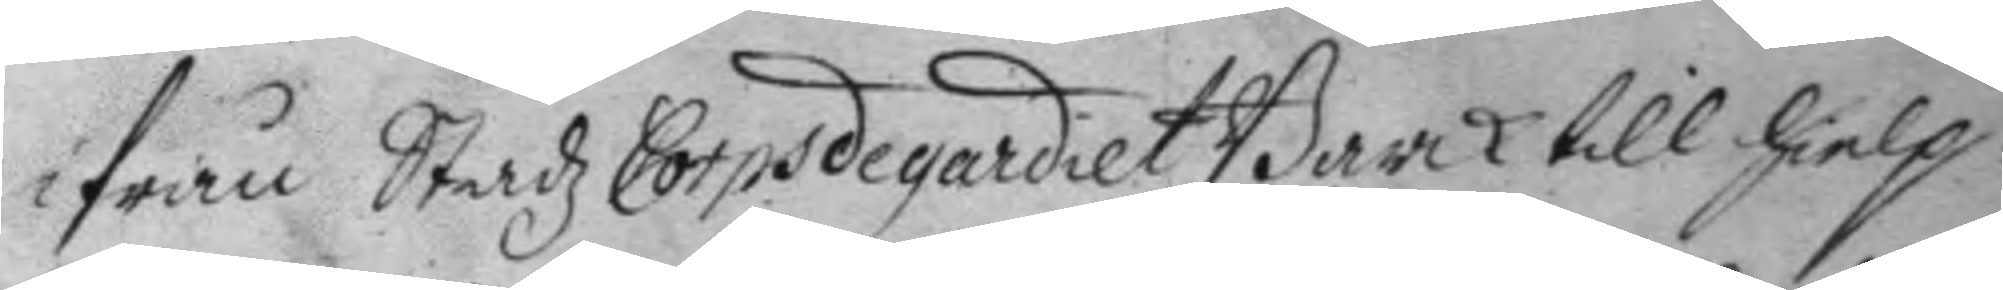ifrån Stadz Corpsdegardiet Barck till hielp:
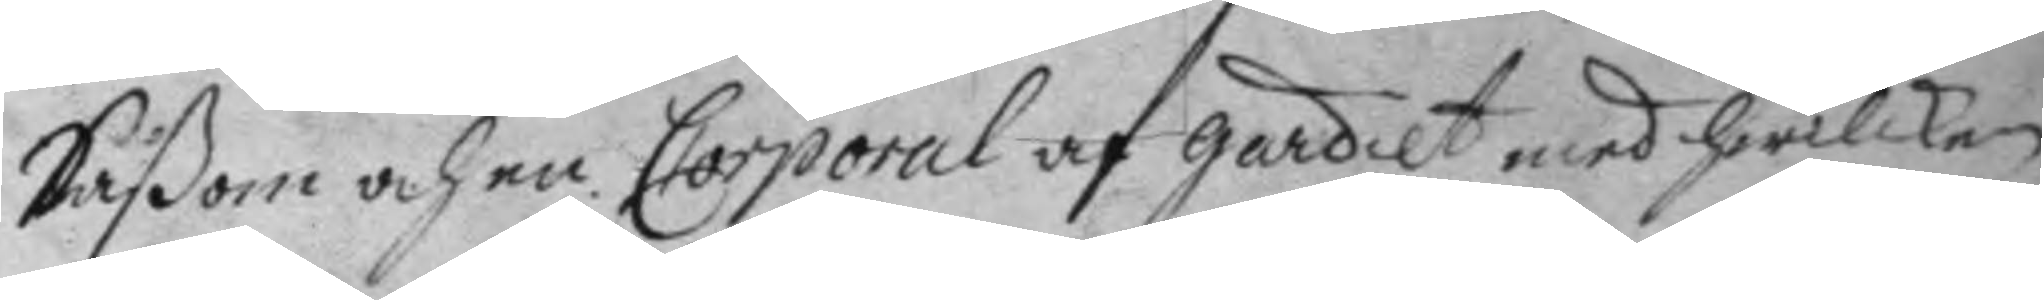Såßom och en Corporal af gardet med hwilken
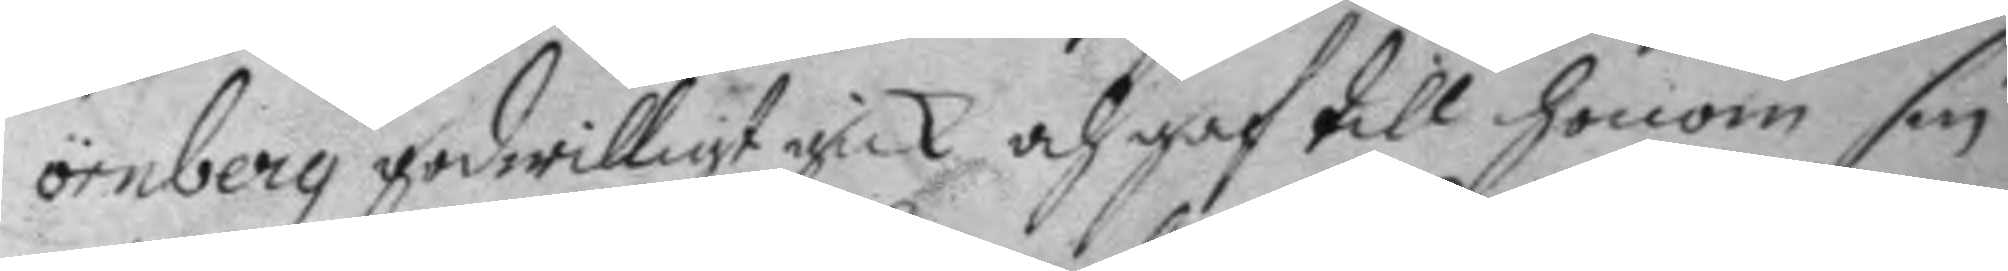örnberg godwilligt gick och gaf till honom sin
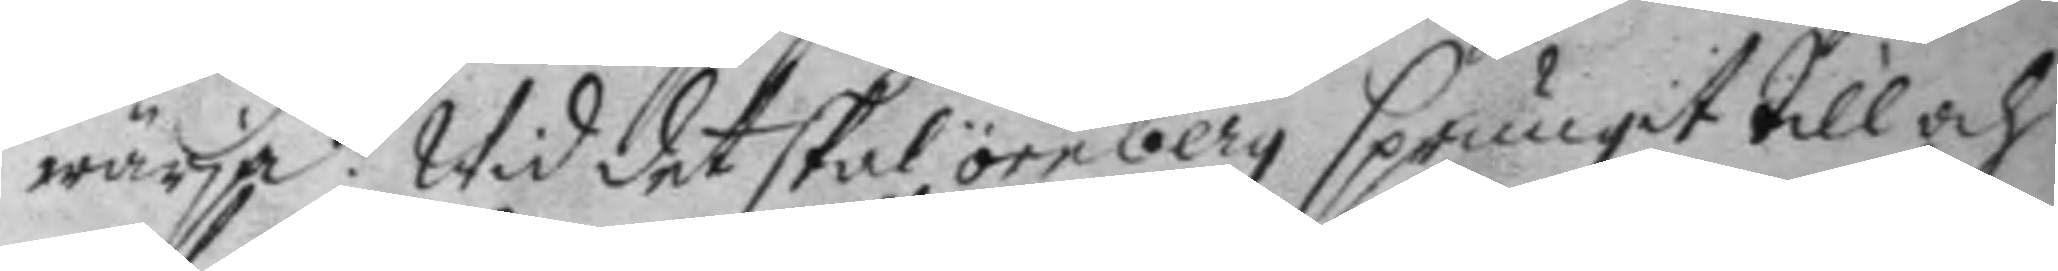wärja: Wid det skal örnberg sprungit till och
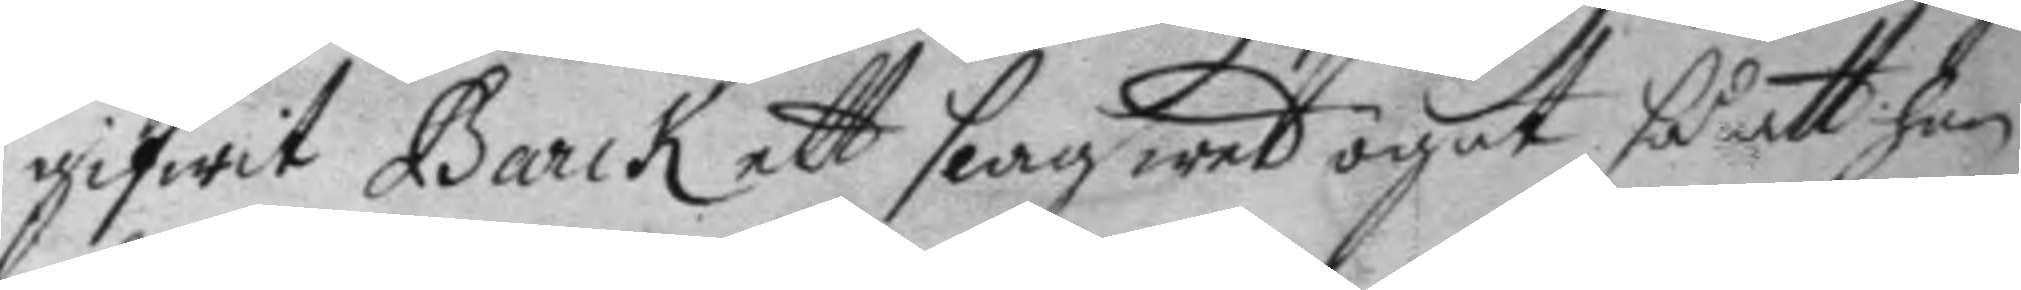gifwit Barck ett slag wed ögat så att han
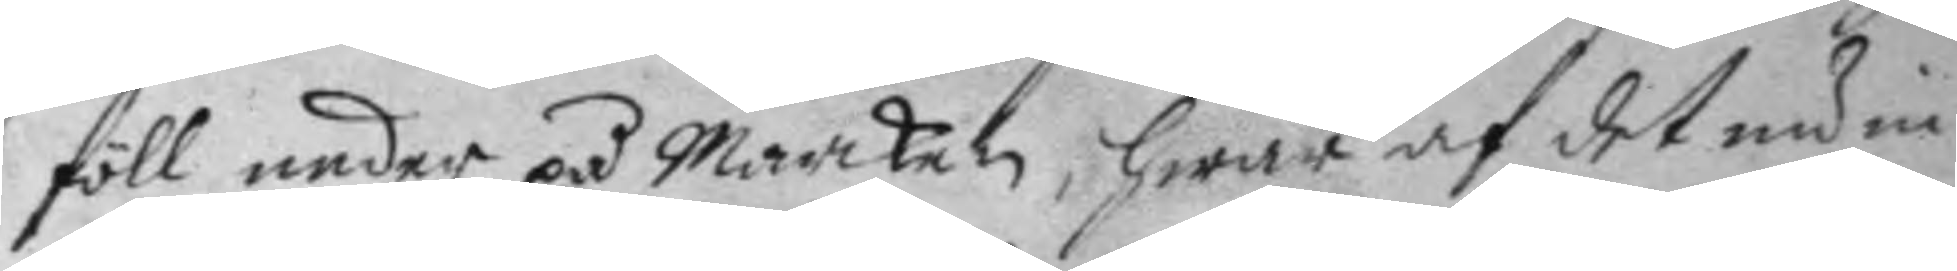föll neder på marcken, hwar af det nu in
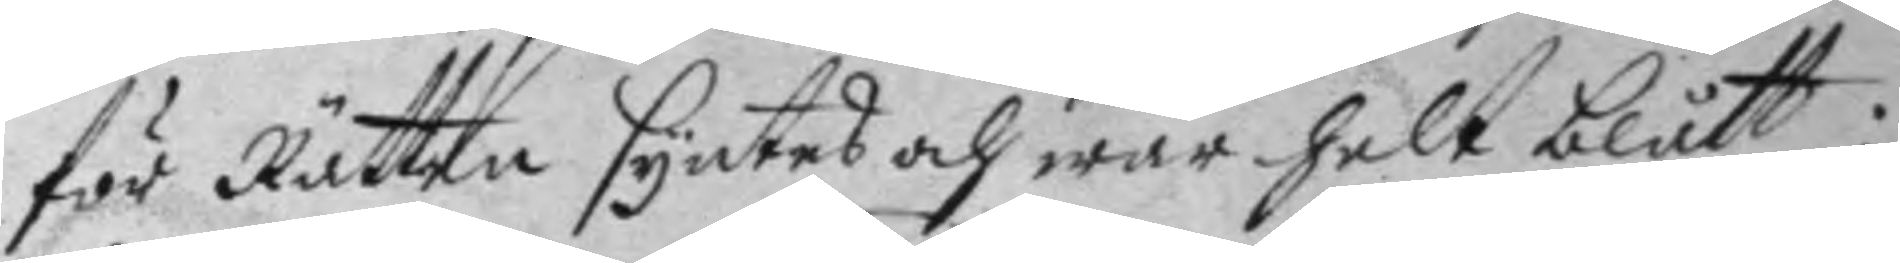för Rätten syntes och war helt blått:
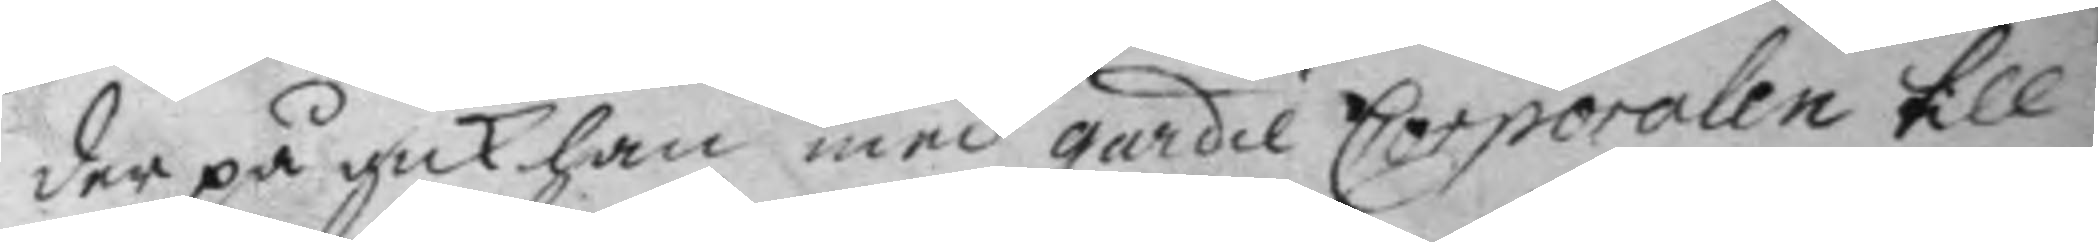der på gick han med gardie Corporalen till
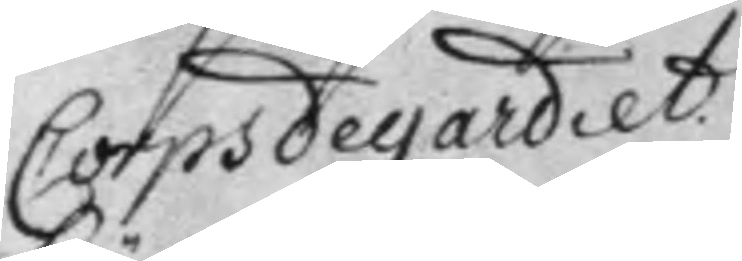Corpsdegardiet.
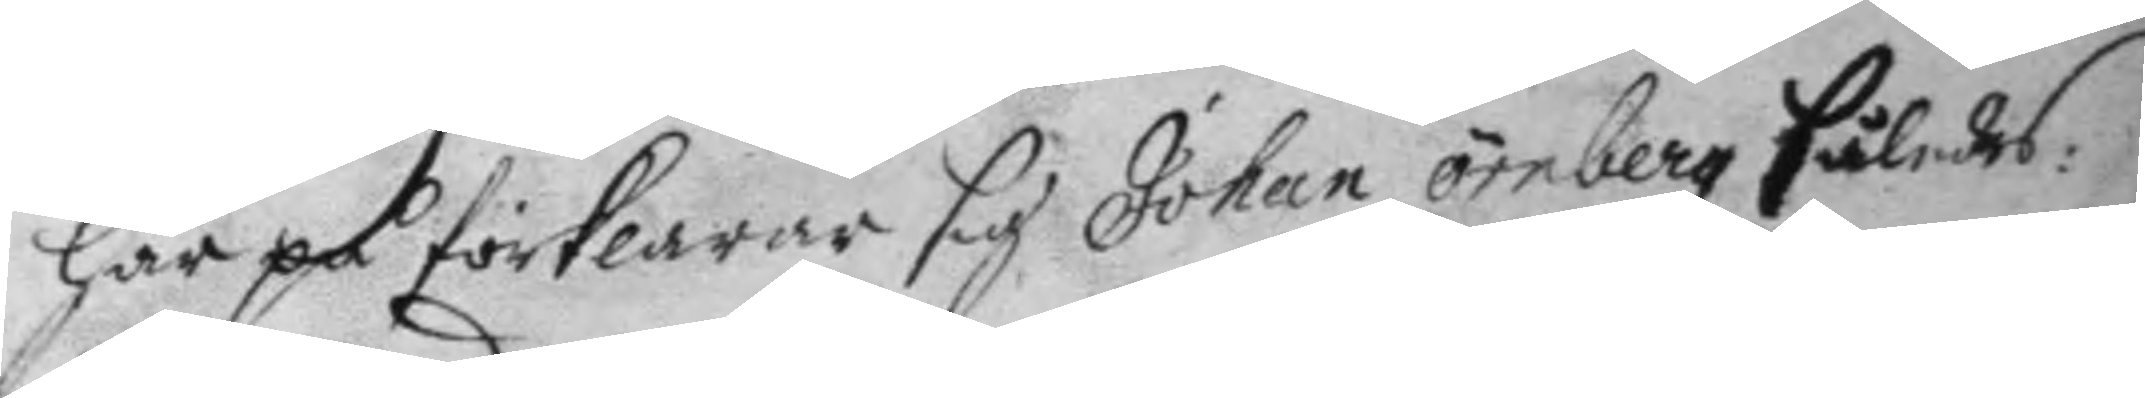här på förklarar sig Johan örnberg således:
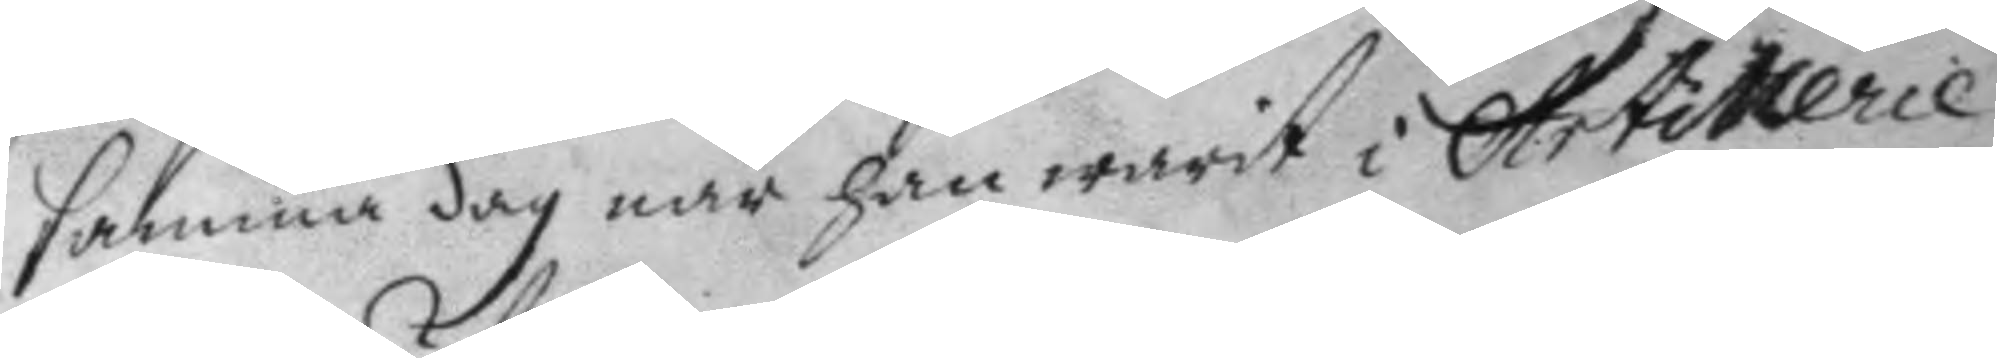samma dag när han warit i Artillerie
